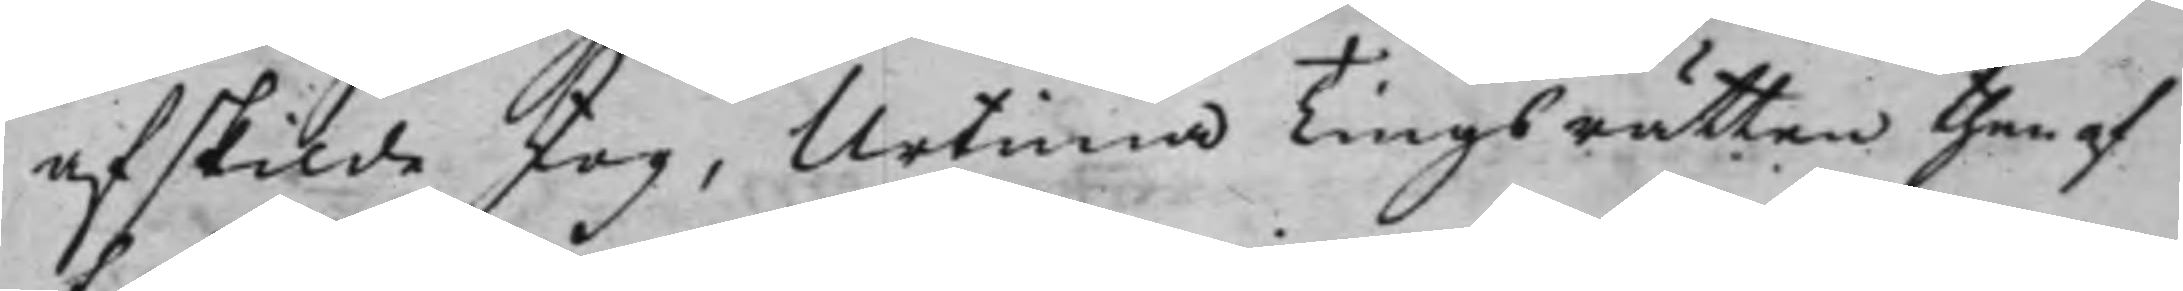afskilde skog, Urtima Tingsrätten then af
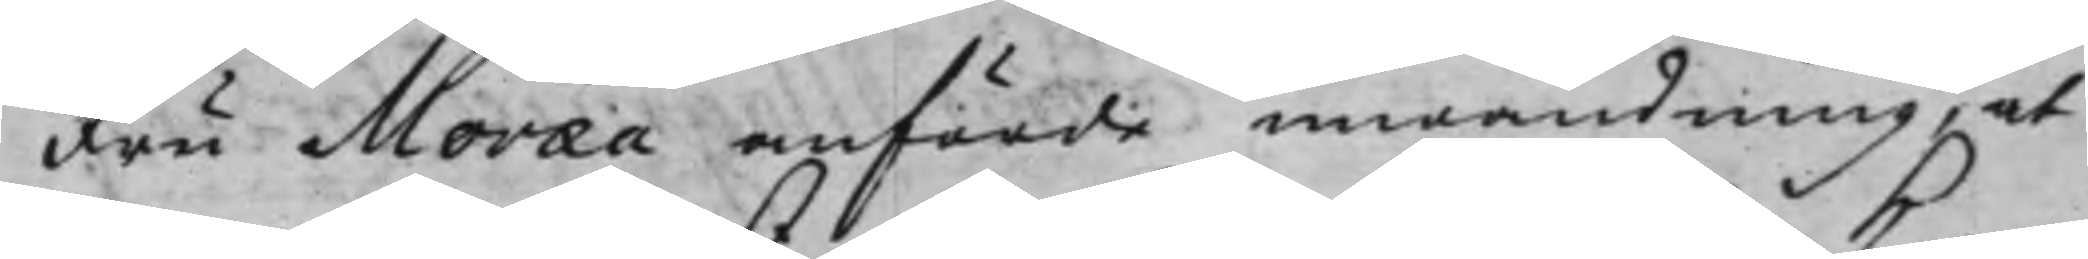Fru Moræa anförde inwändning, at
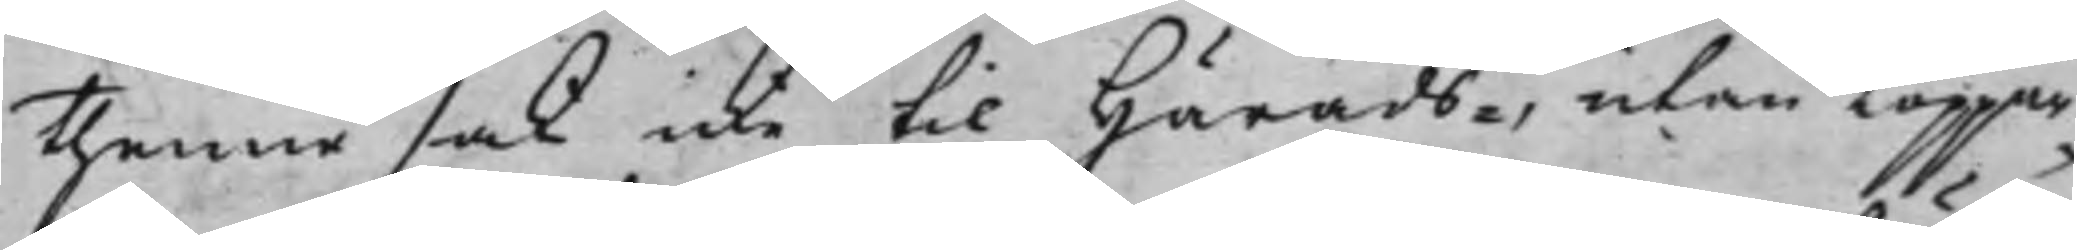thenne sak icke till Härads-, utan Koppar¬
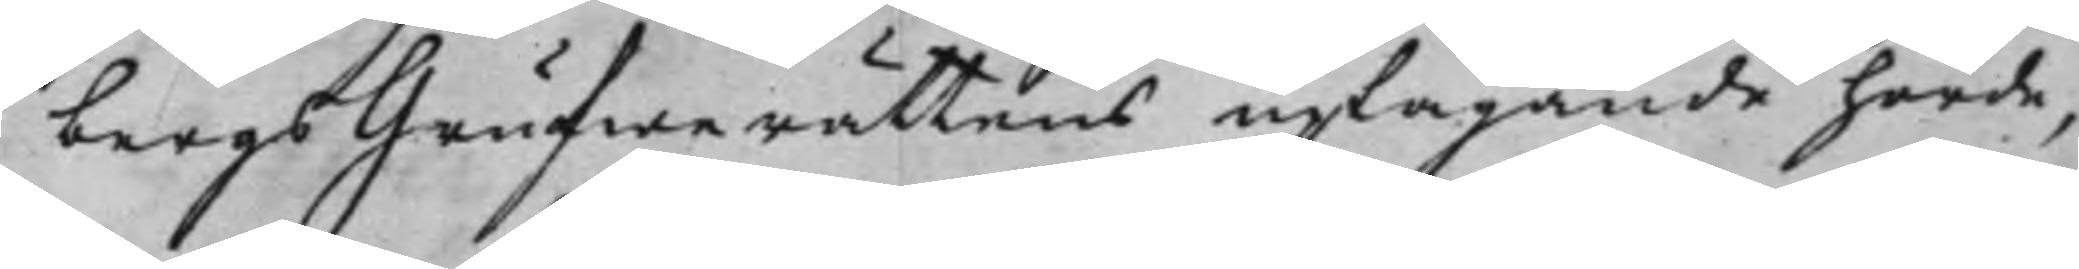bergsGrufwerättens uptagande hörde,
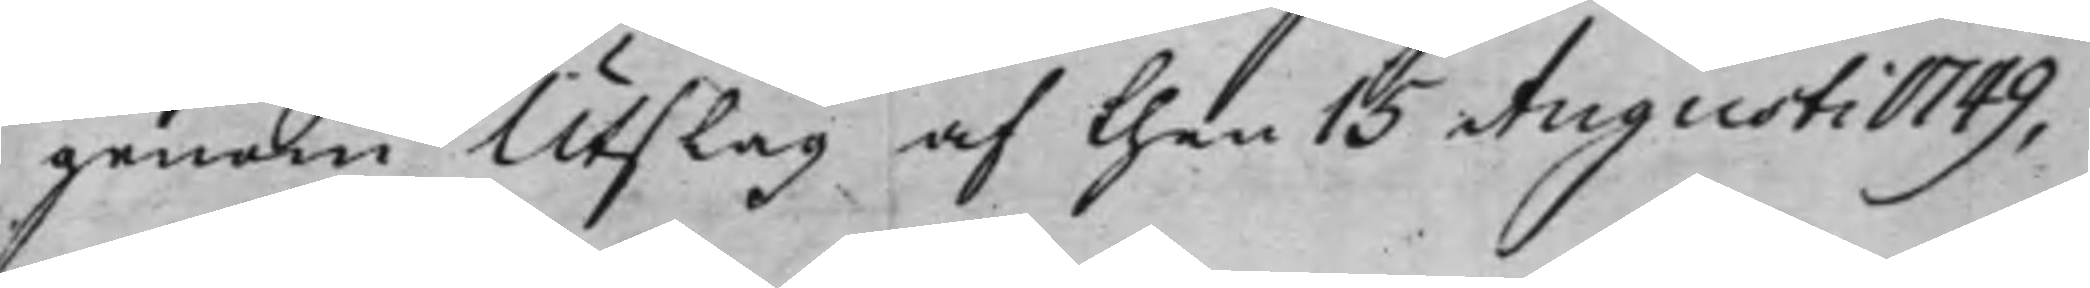genom Utslag af then 15 Augusti 1749,
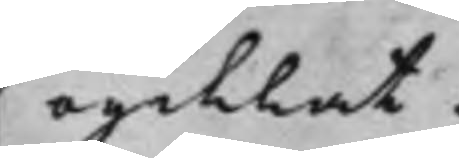ogillat.
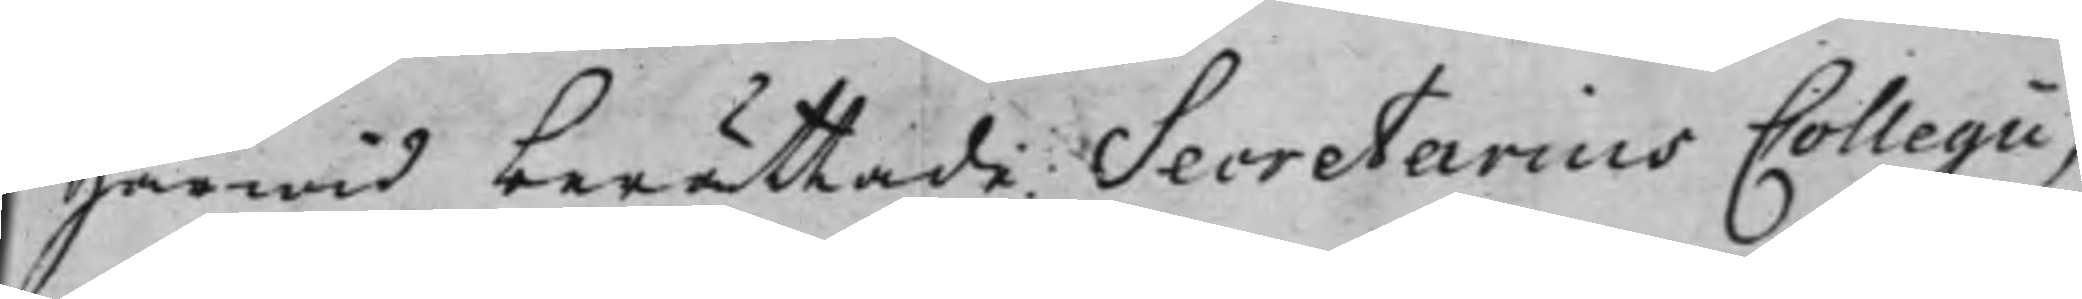Härwid berättade Secretarius Collegii,
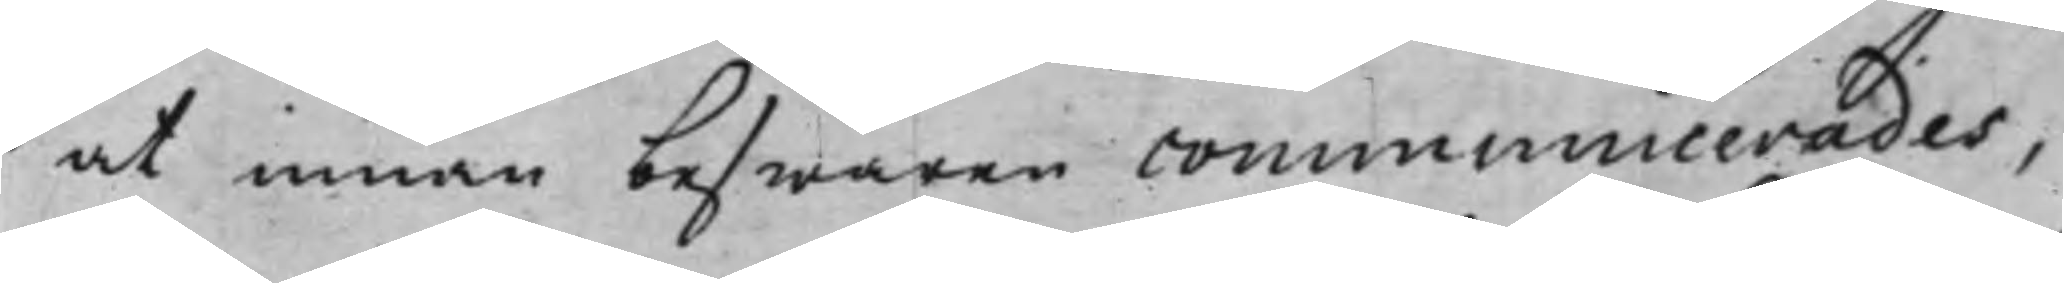at innan beswären communicerades,
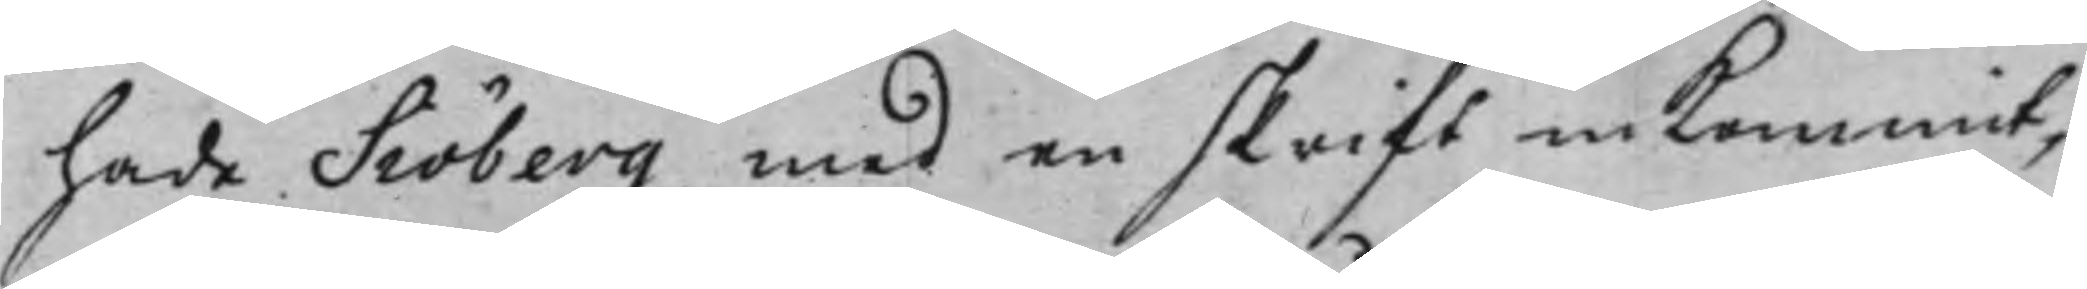hade Siöberg med en skrift in Kommit,
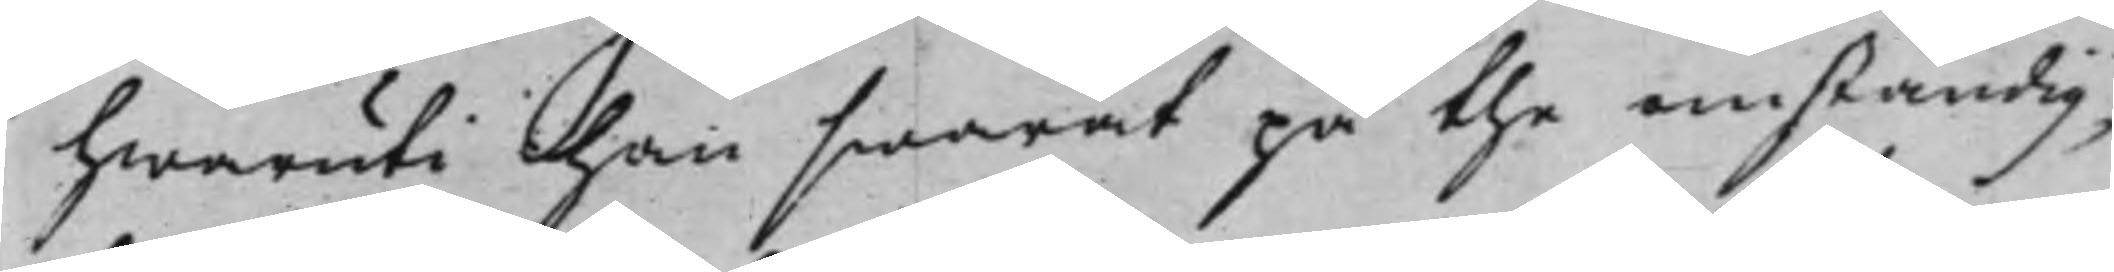hwaruti han swarat på the omständig¬
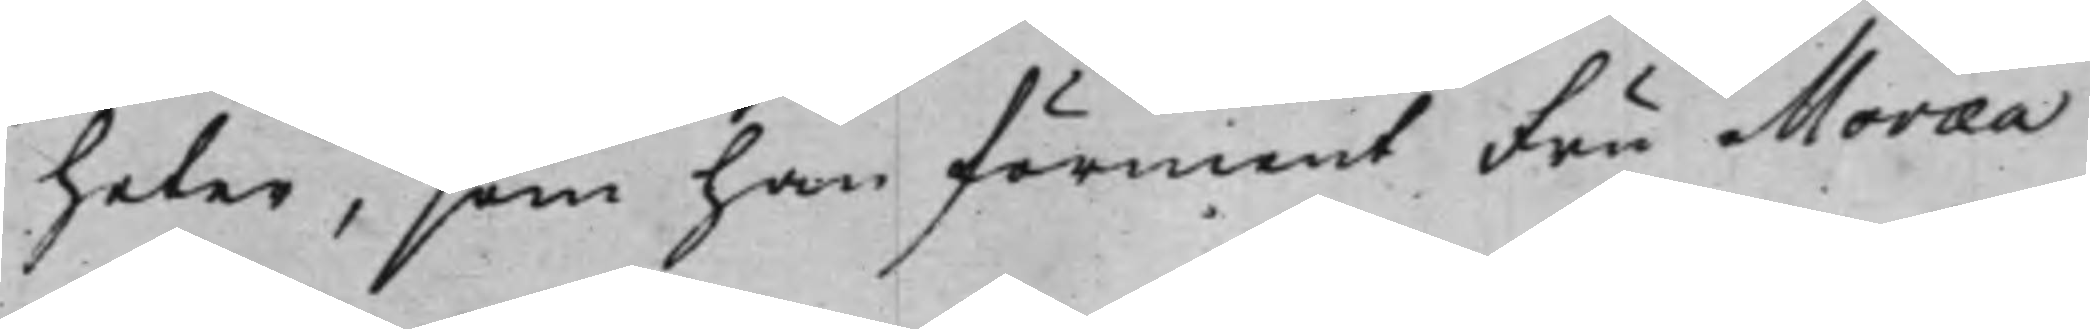heter, som han förment Fru Moræa
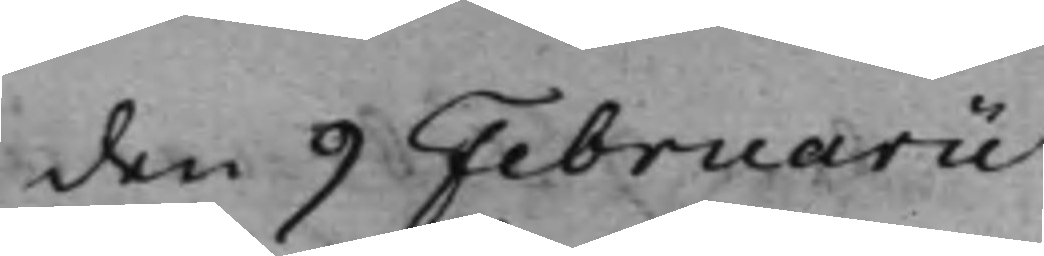den 9 Februarii
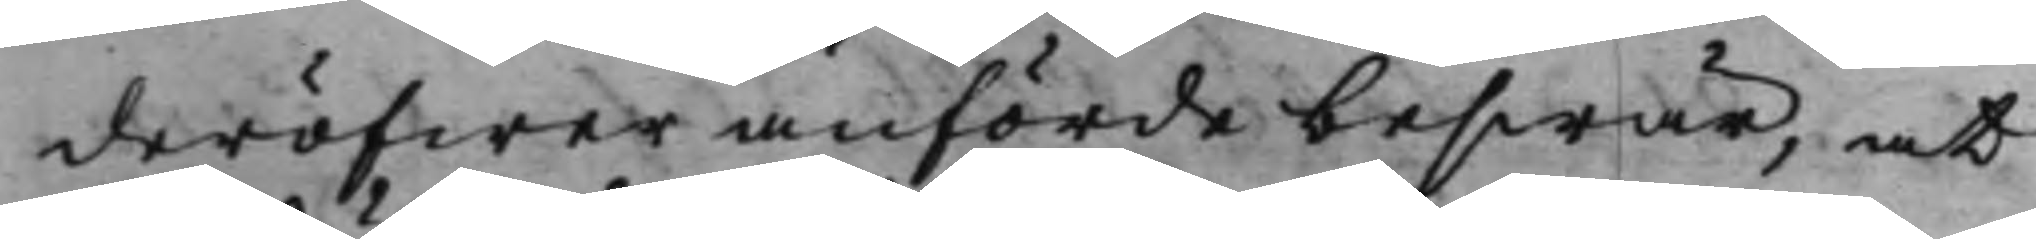deröfwer anförde beswär, at
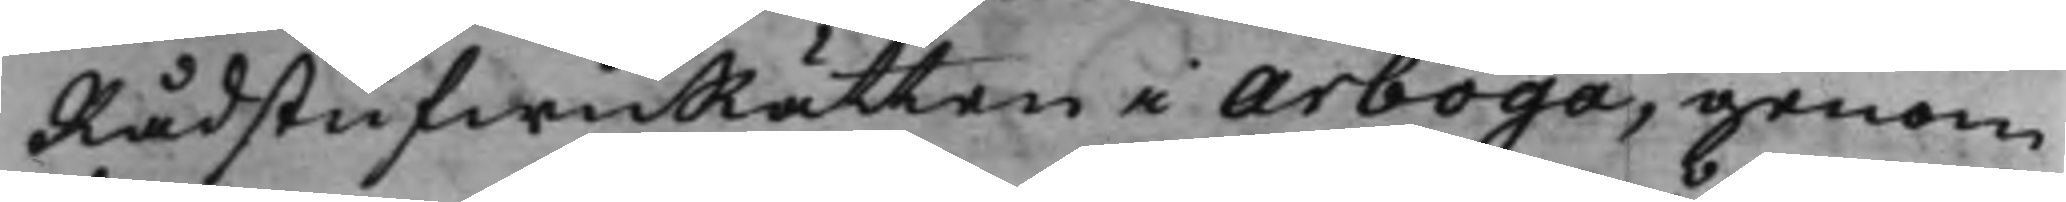RådstufwuRätten i Arboga, genom
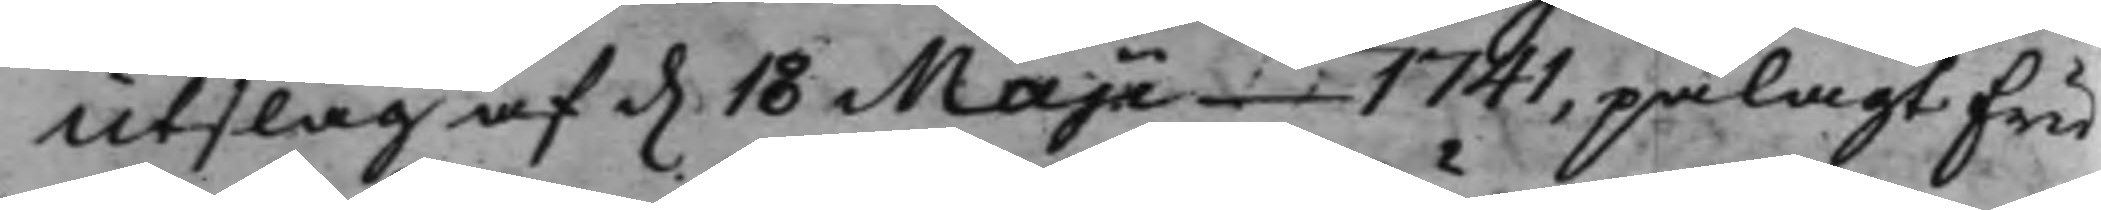Utslag af d. 18 Majii 1741, pålagt Fru
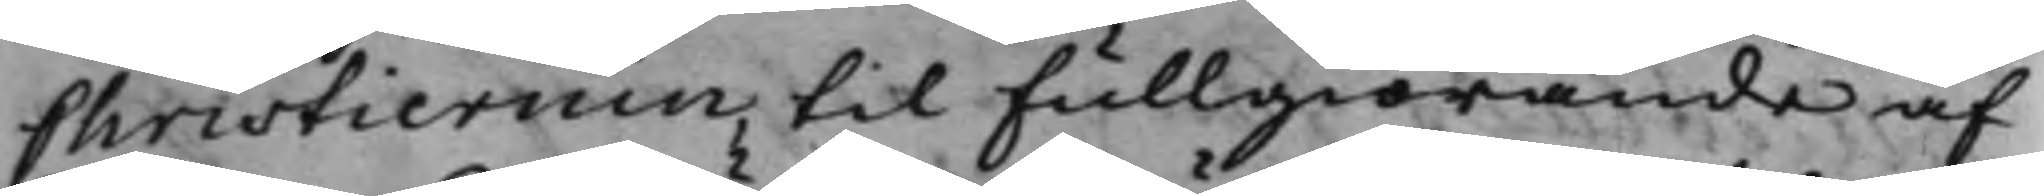Christiernin, til Fullgiörande af
